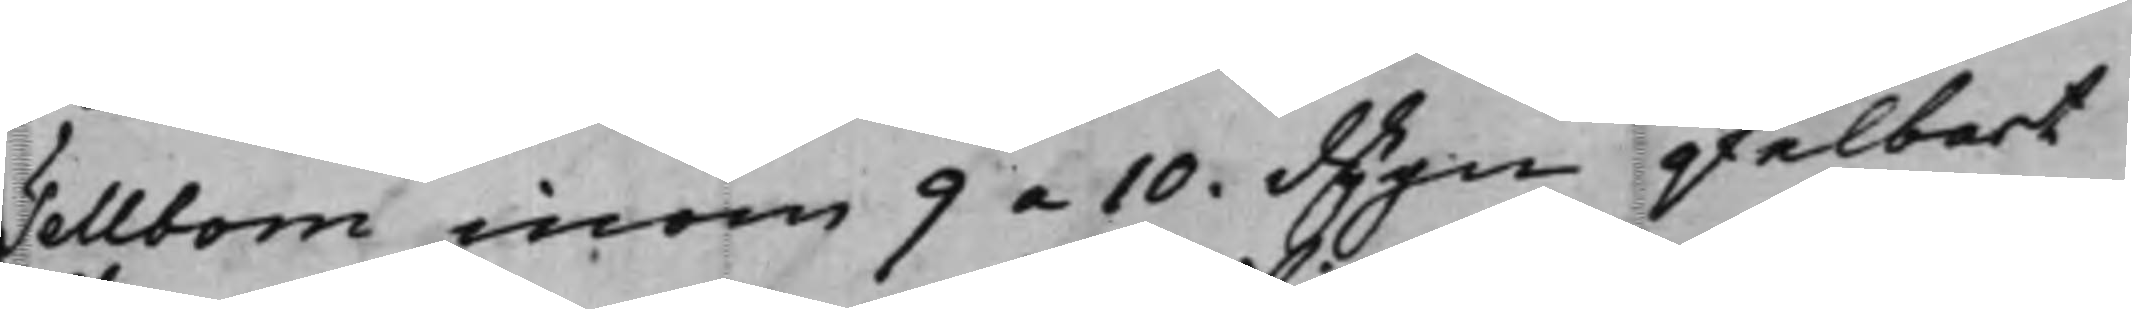Tellbom inom 9 a 10 dygn ofelbart
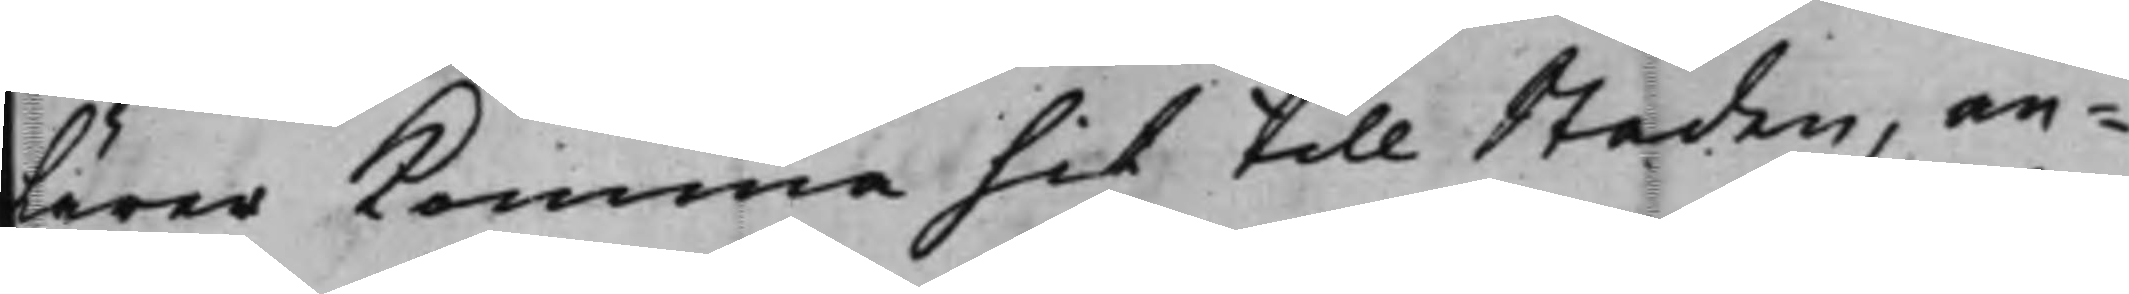lärer komma hit till Staden, an¬
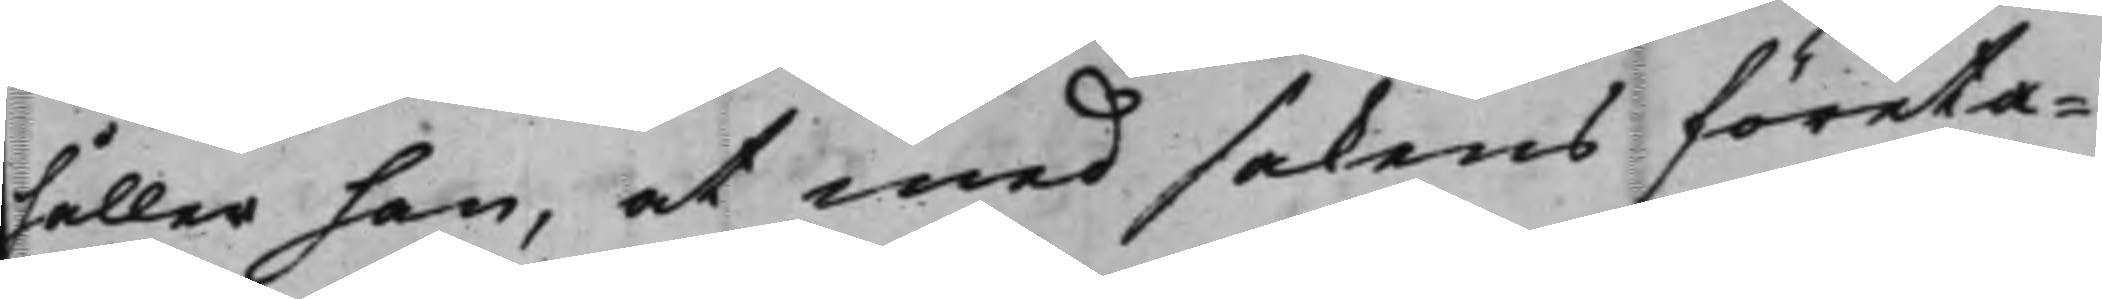håller han, at med sakens företa¬
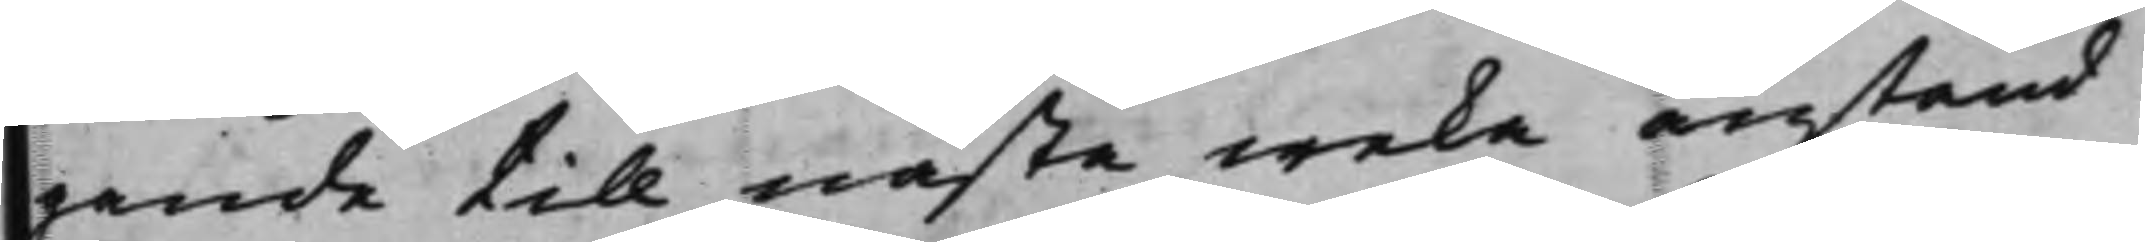gande till nästa weka anstånd
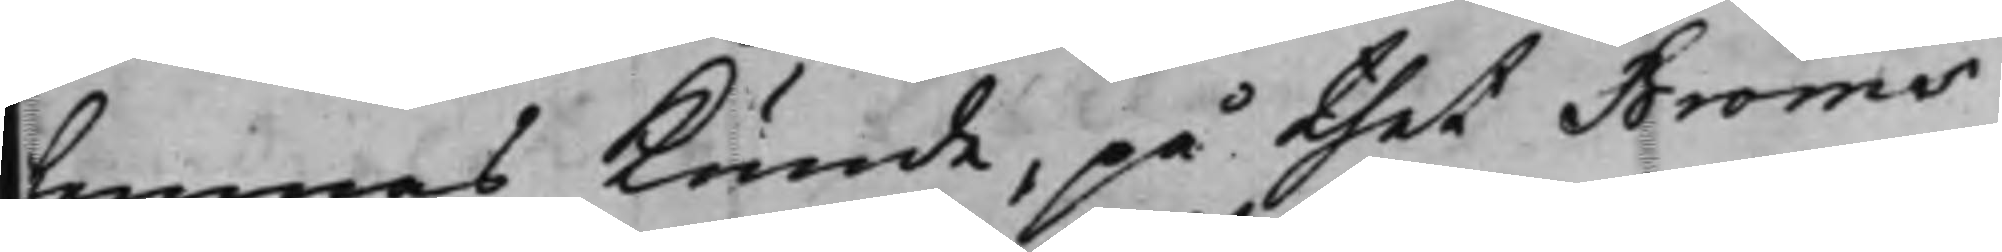lemnas kunde, på thet Bröms
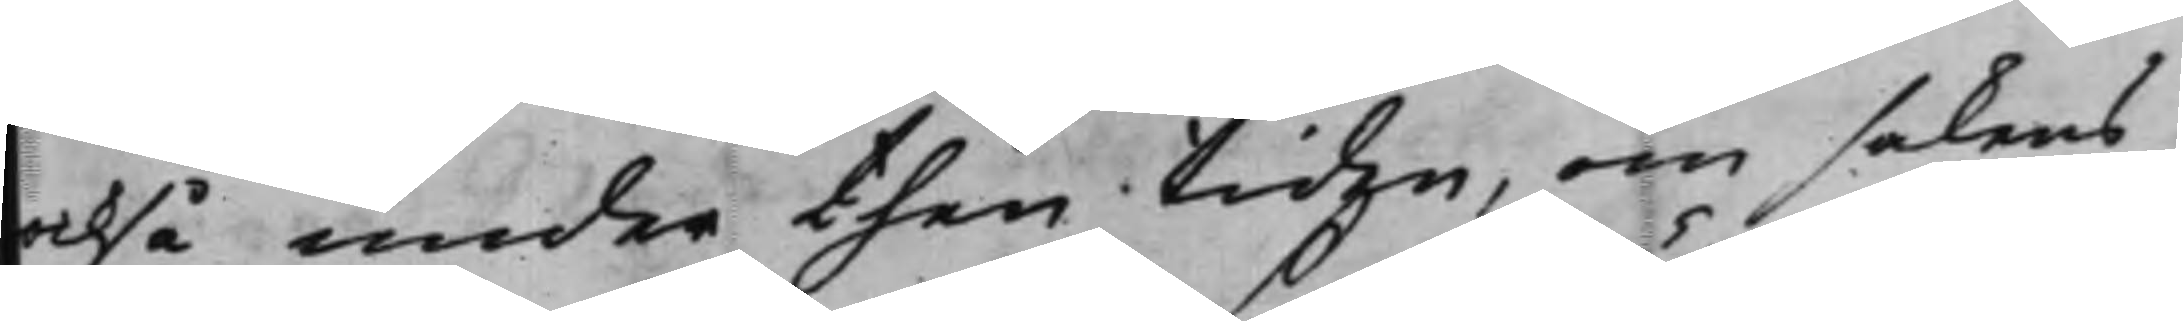också under then tiden, om sakens
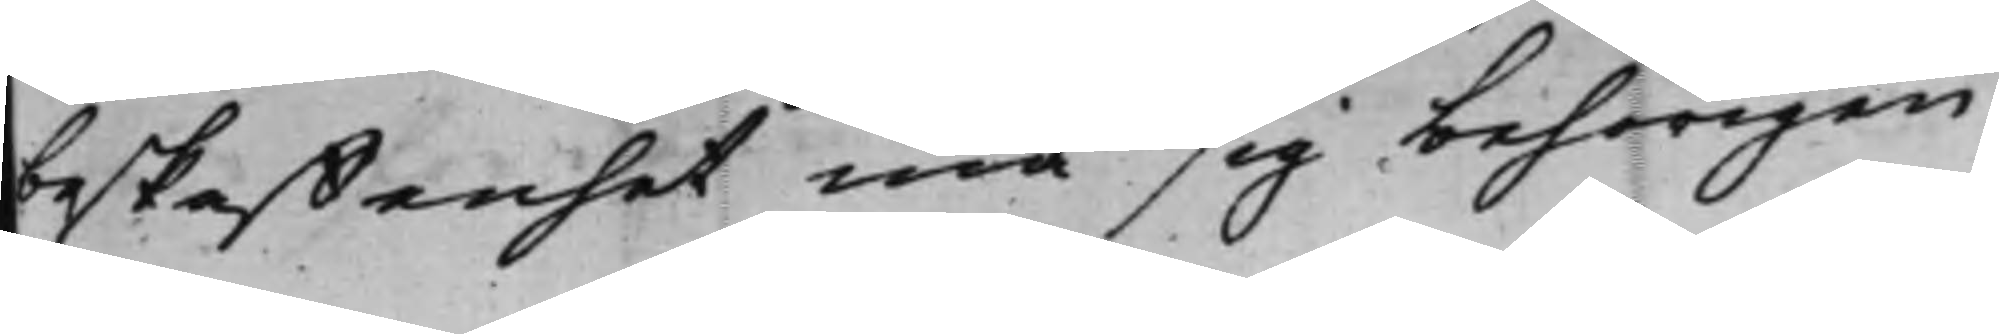beskaffenhet må sig behörigen
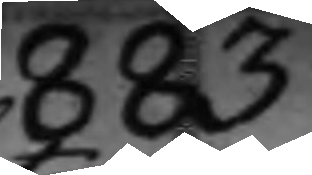883
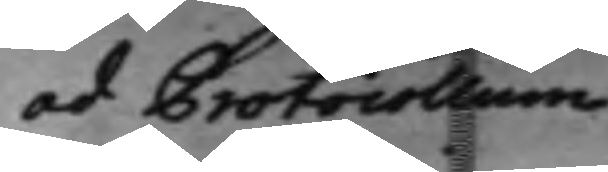ad Protocollum
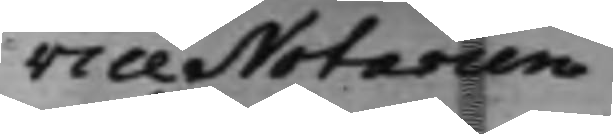vice Notarien
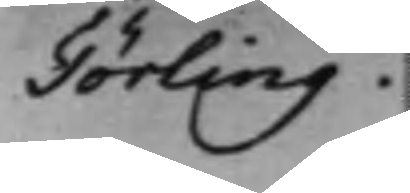Törling.
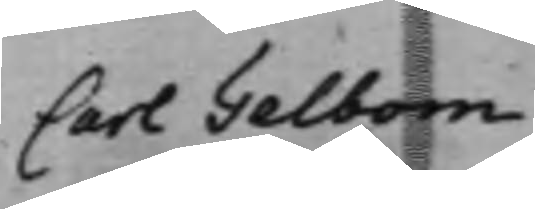Carl Telbom
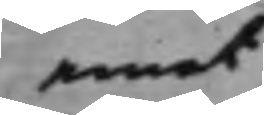emot
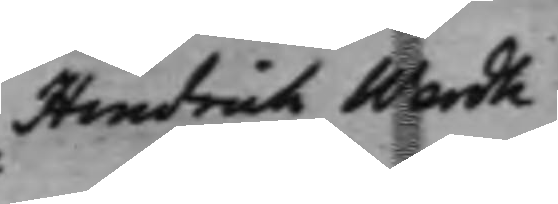Hindrich Werdh
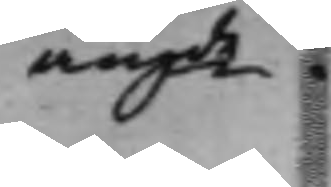angde
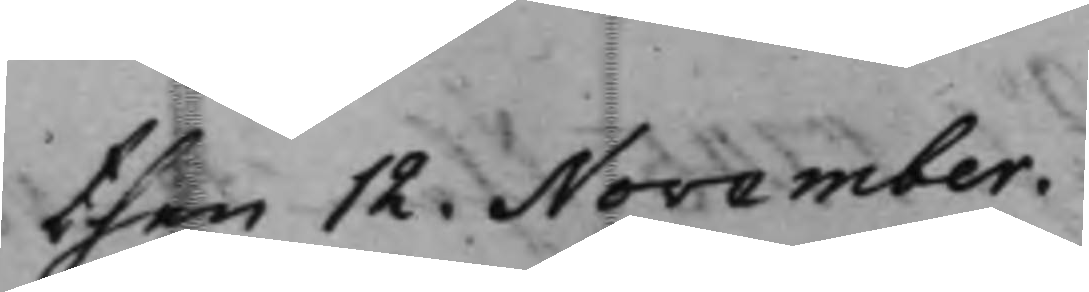then 12 November.
